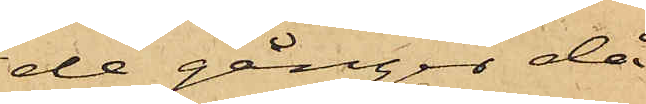de gånger, då
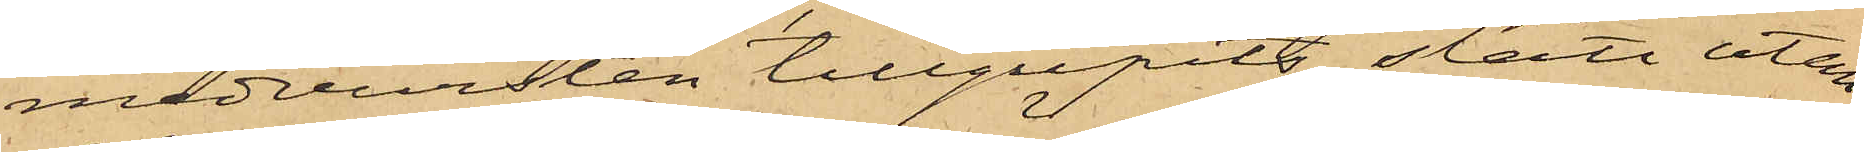medvursten tillgripits, stått utan¬
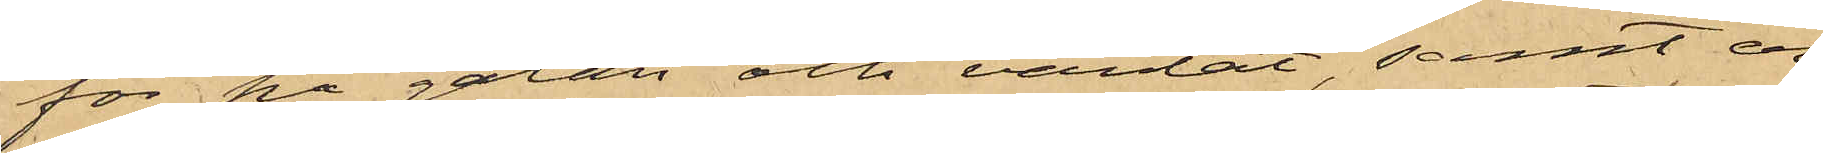för på gatan och väntat, samt er¬
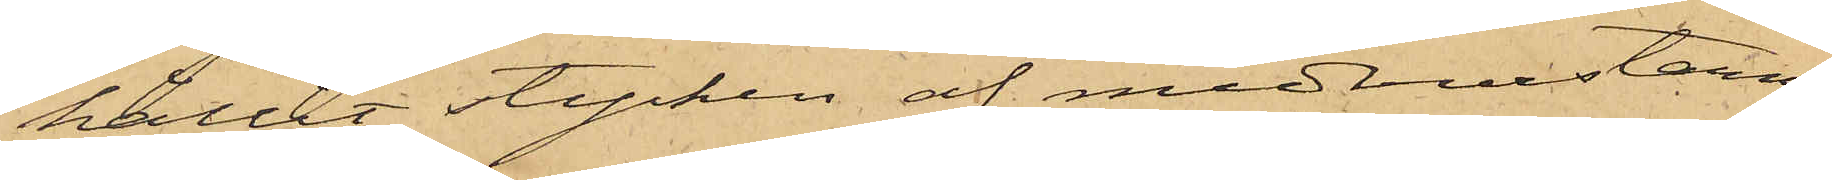hållit stycken af medvursterne
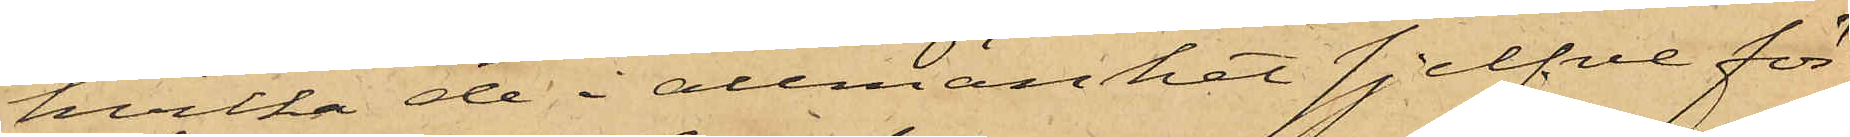hvilka de i allmänhet sjelfve för¬
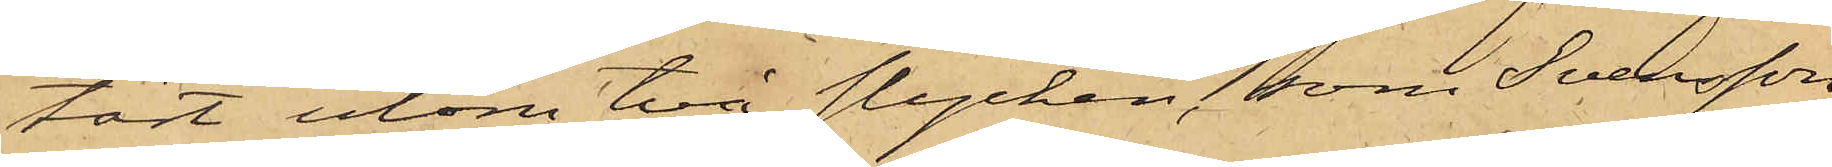tärt utom två stycken, som Svensson
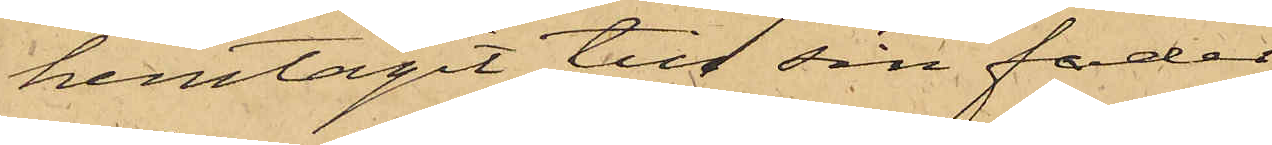hemtagit till sin fader.
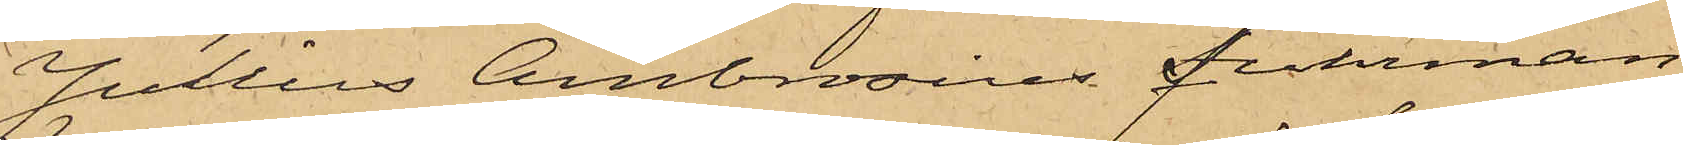Julius Ambrosius Fuhrman,
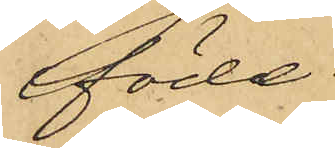född
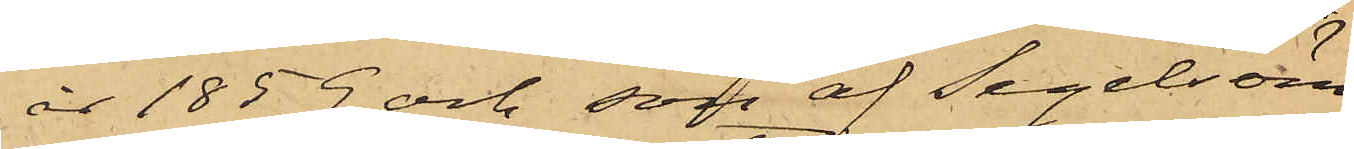år 1859 och son af Segelsöm¬
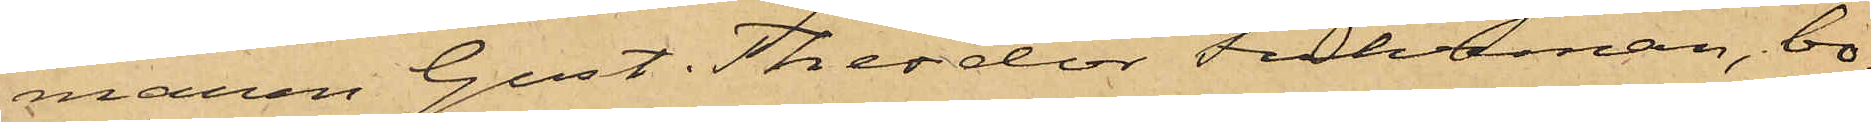maren Gust. Theodor Fuhrman, bo¬
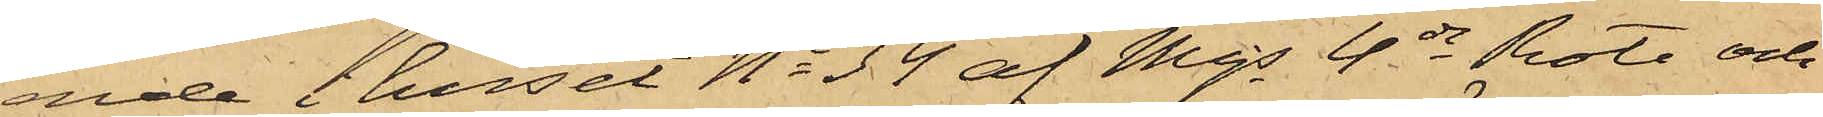nde i huset No 34 af Majs 4de Rote och
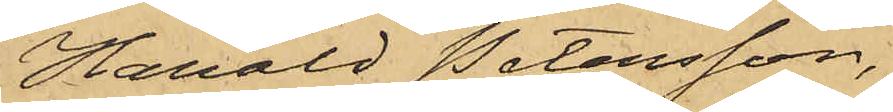Harald Petersson,
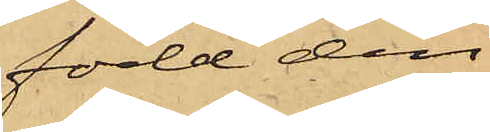född den
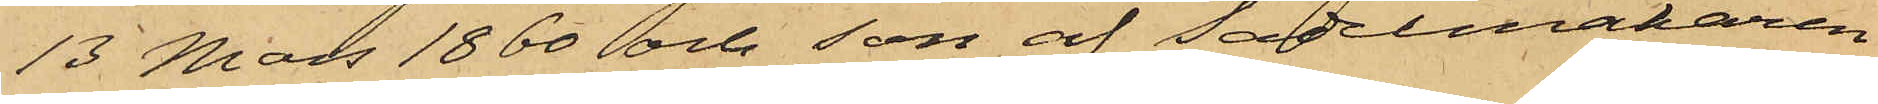13 Mars 1860 och son af Sadelmakaren
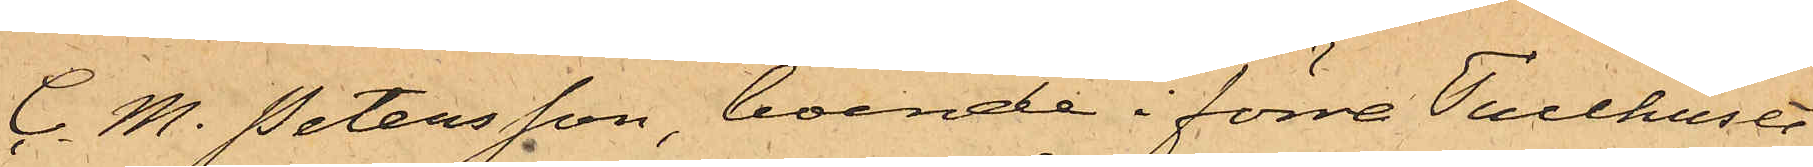C. M. Petersson, boende i förre Tullhuset
